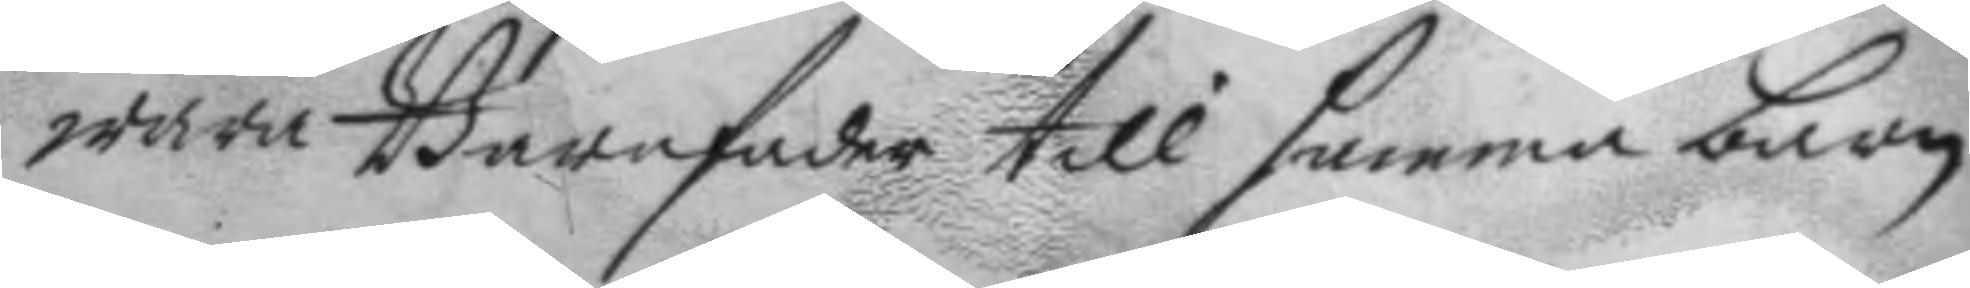wara barnafader till samma barn
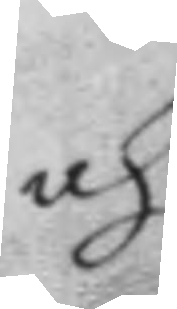och
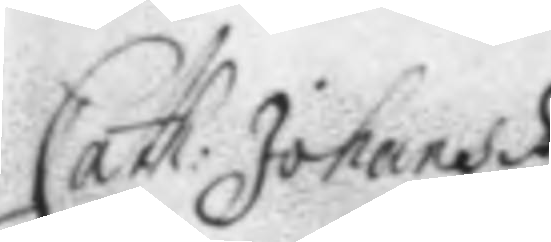Cath: Johans dr
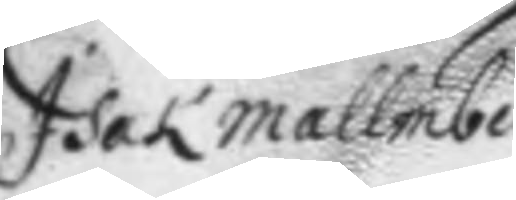Isak mallmberg.
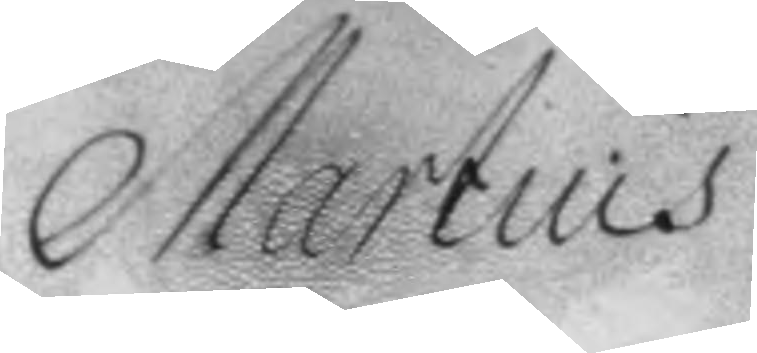Martinus
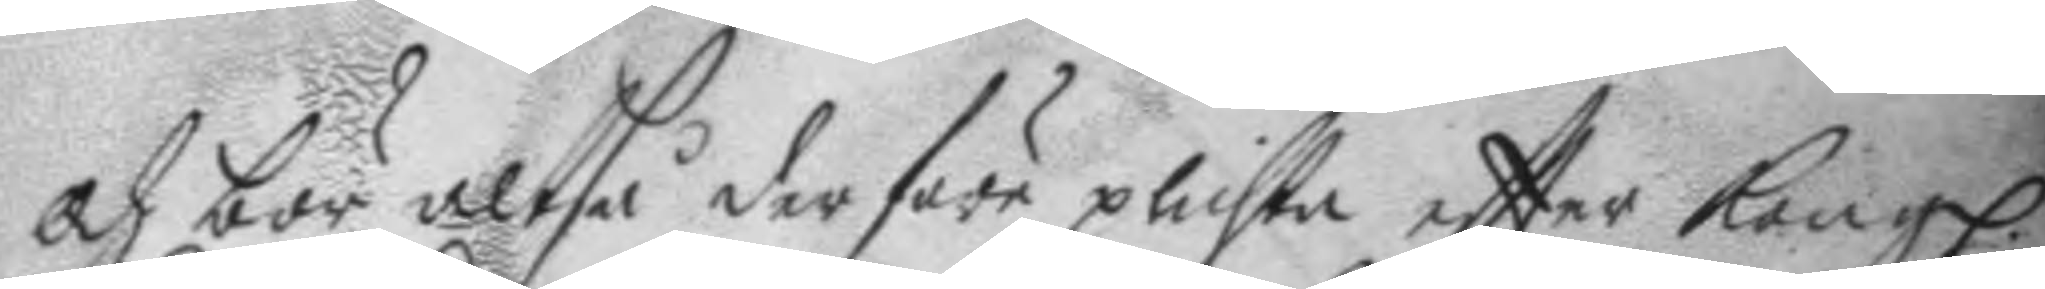och bör altså derföre plichta eftter Kongl.
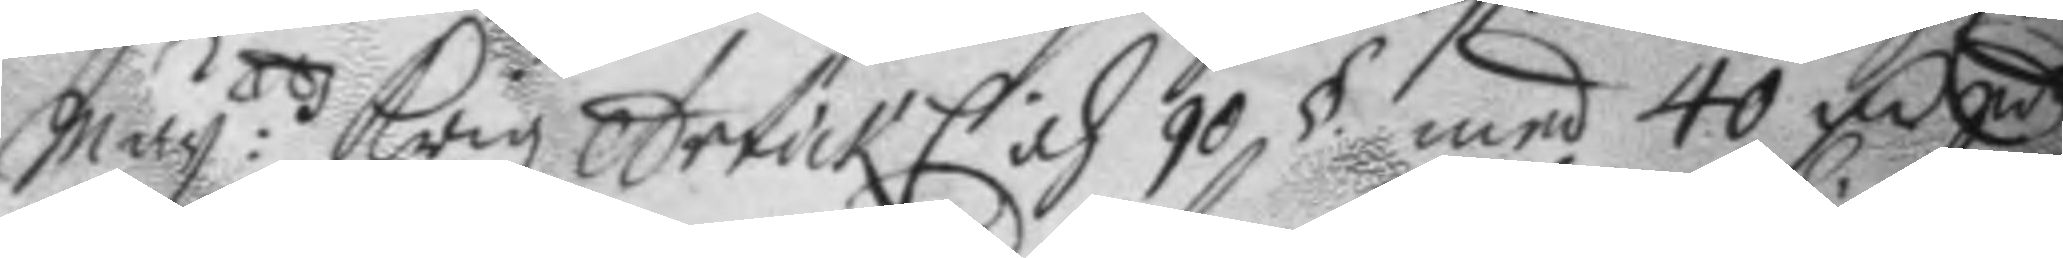May:ttz Krigz Artickl och 90 § med 40 Fm Sd
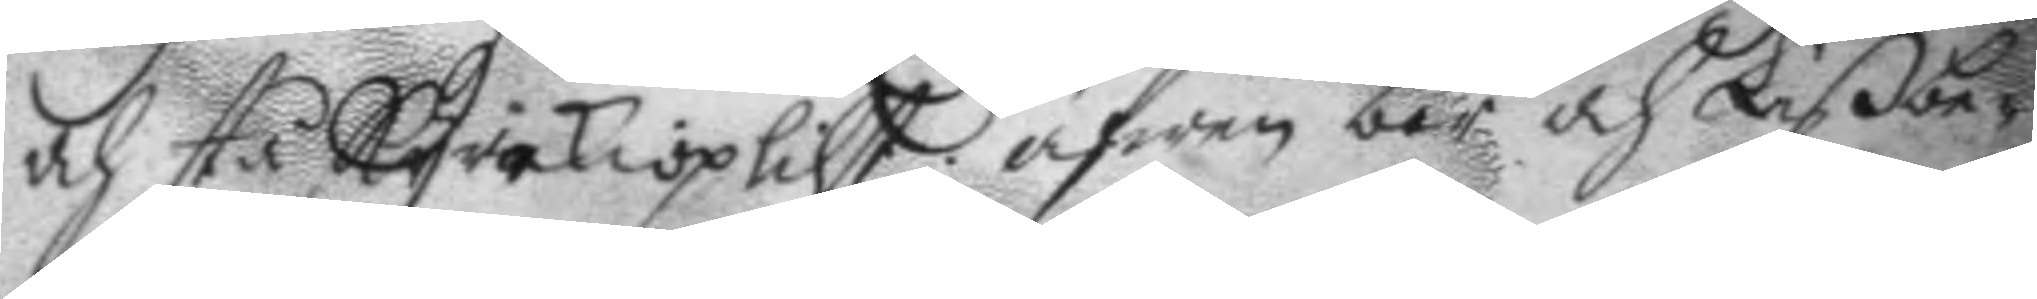och stå Kyrkioplicht äfwen bör och Lißbe¬
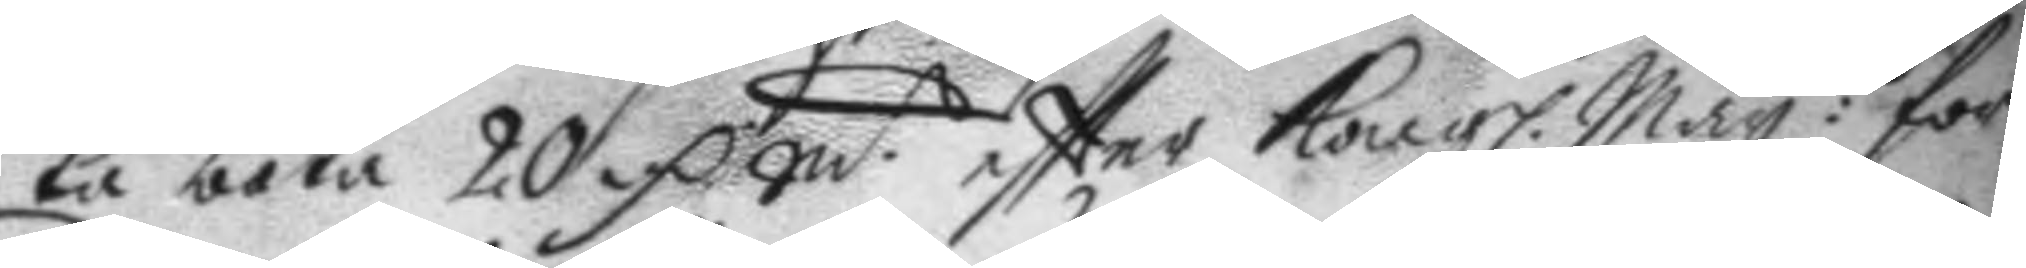ta böta 20 Fm Smt eftter Kongl. May:ttz för¬
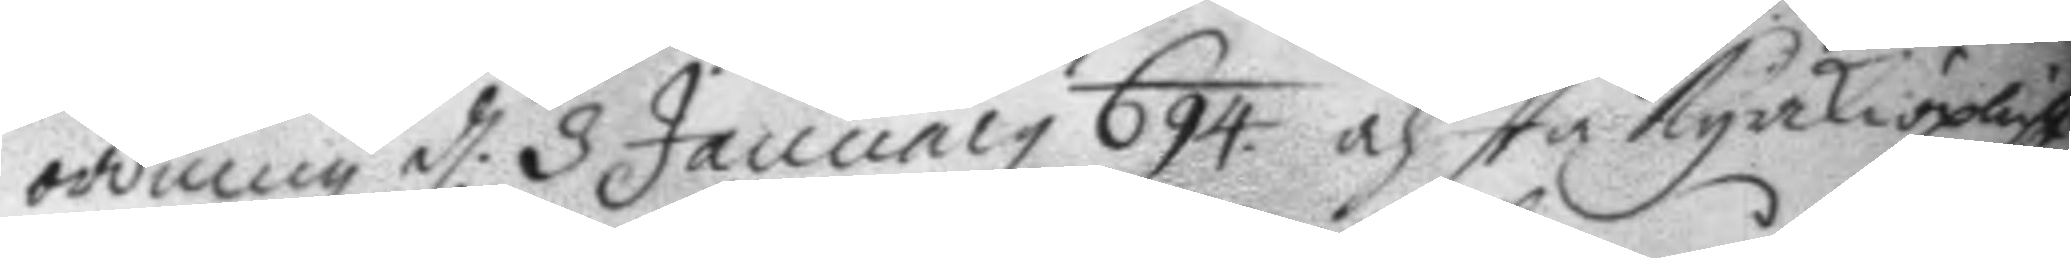ordning d: 3 January 694 och stå kyrkioplickt.
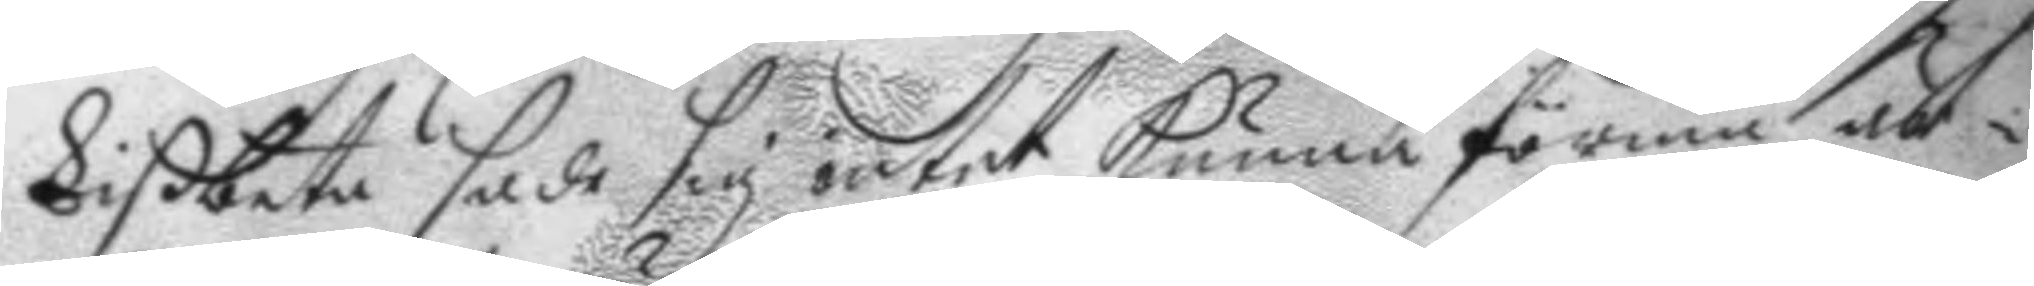Lißbeta sade sig intet kunna förmå är¬
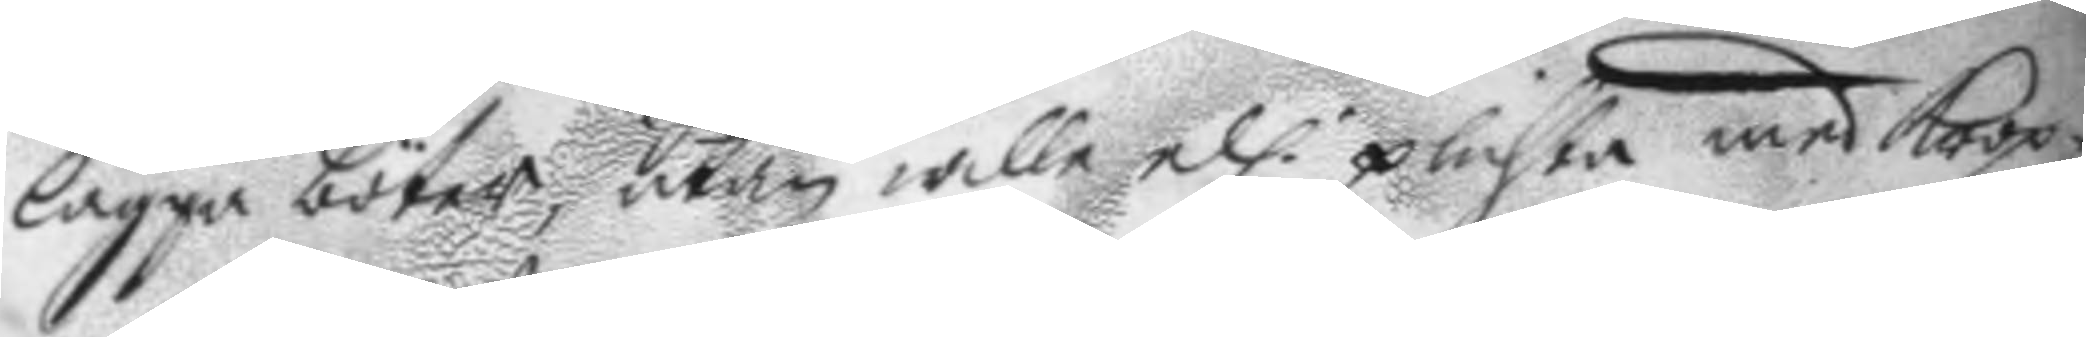lägga böter utan wille ell. plichta med krop¬
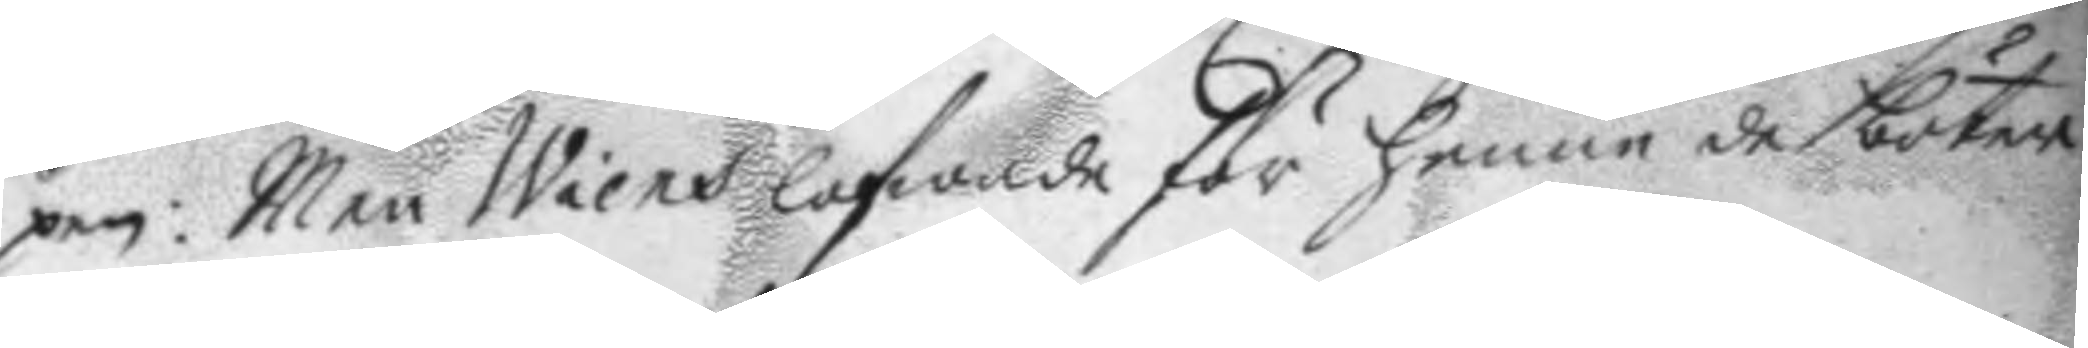pen: men Wiens lofwade för henne de böter
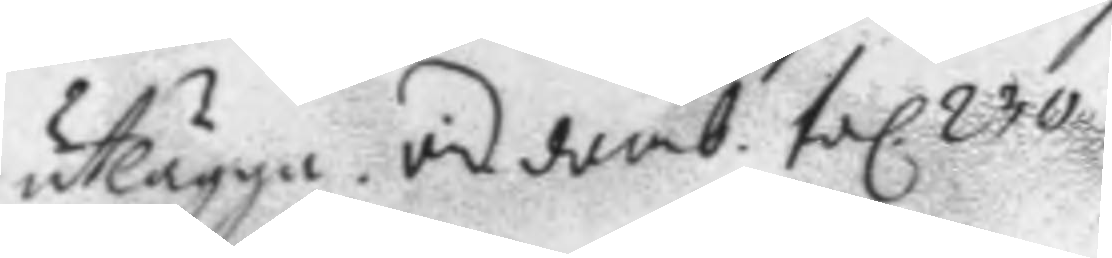utlägga. vid. domb. fol. 230.
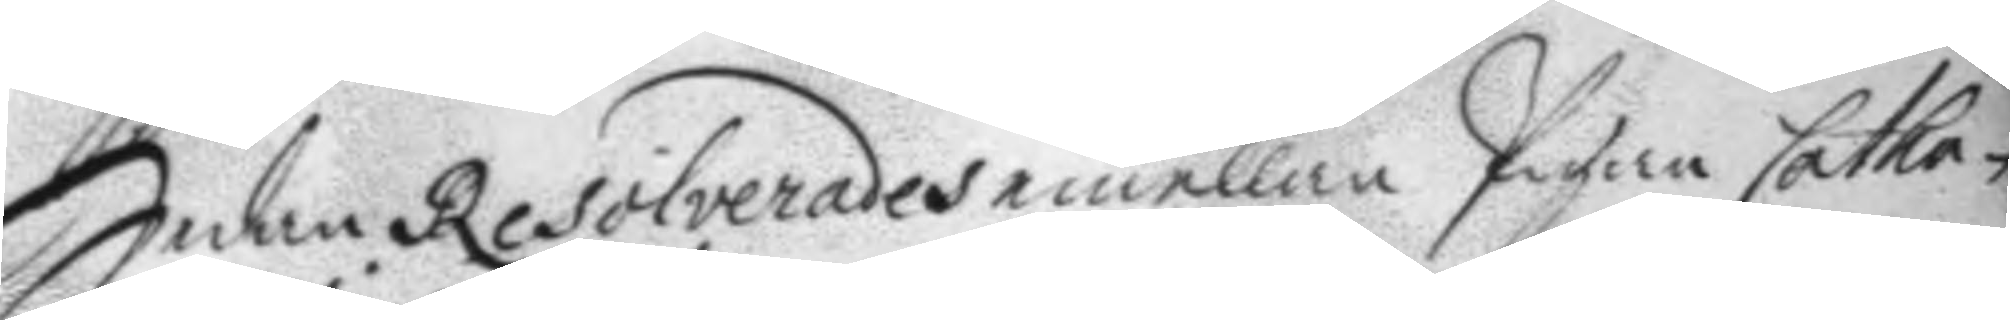Sedan Resolverades emellan Pigan Catha¬
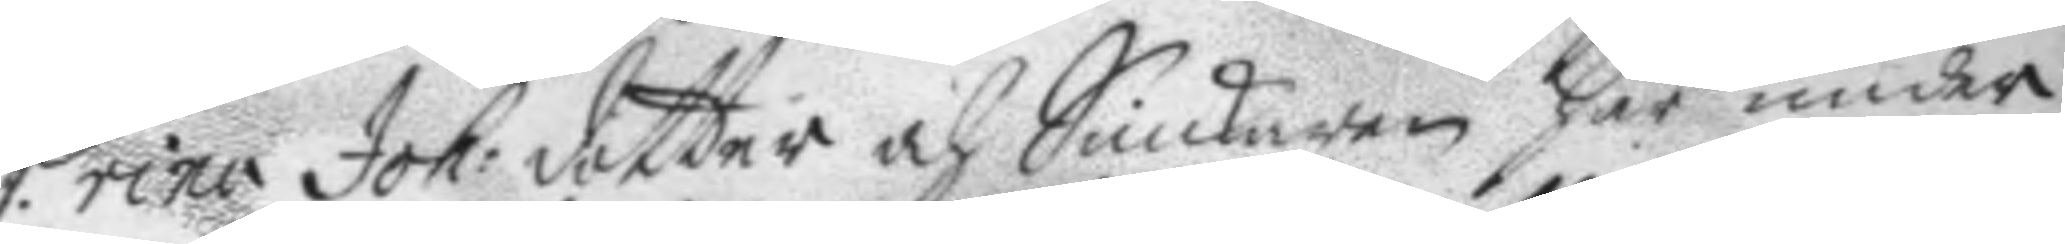rina Joh: dotter och Snickaren här under
